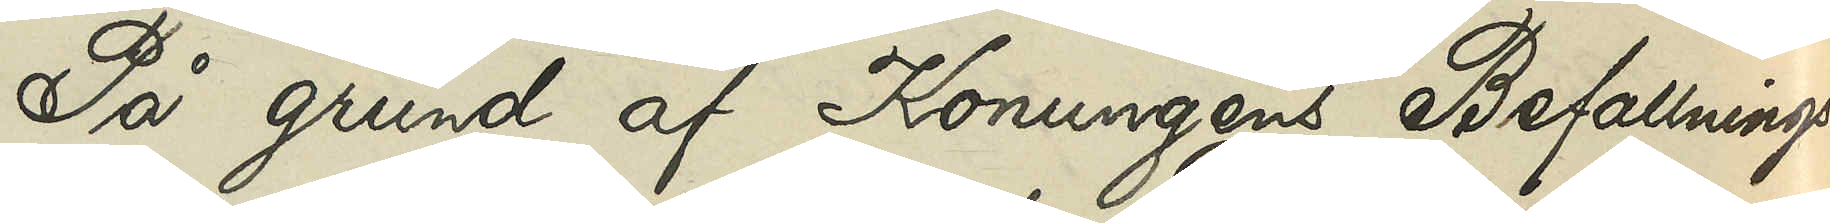På grund af Konungens Befallnings¬
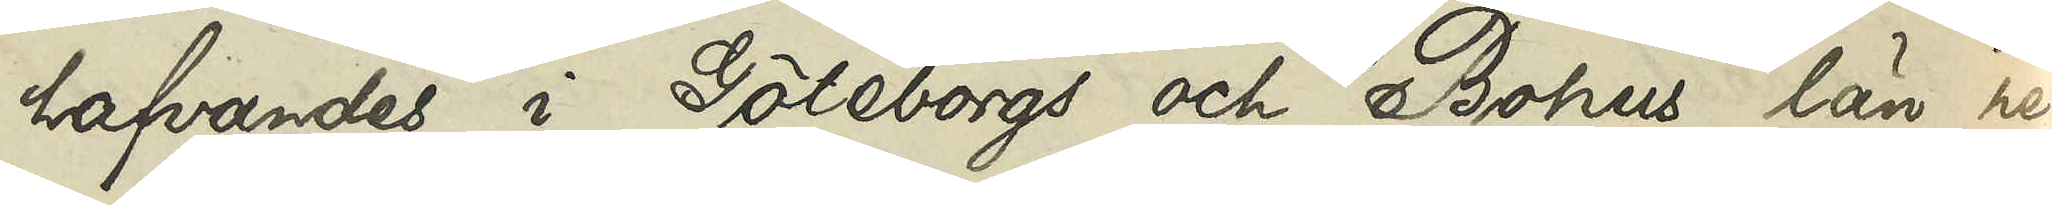hafvandes i Göteborgs och Bohus län re¬
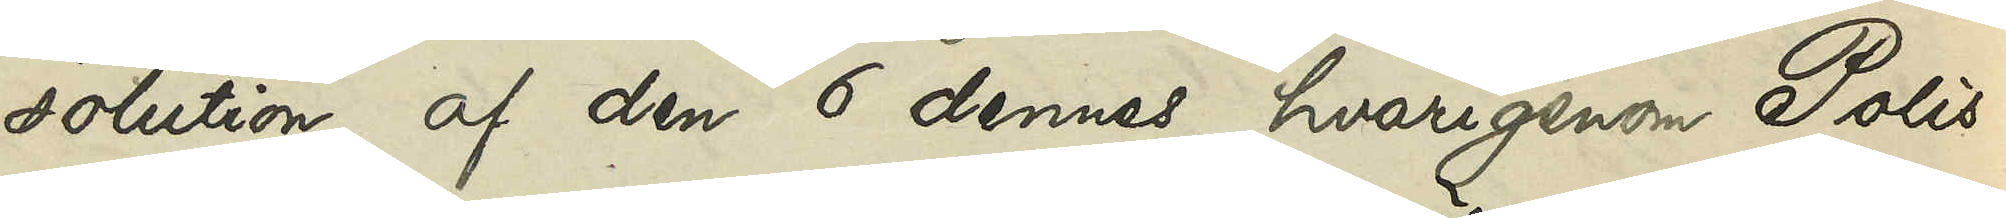solution af den 6 dennes, hvarigenom Polis¬
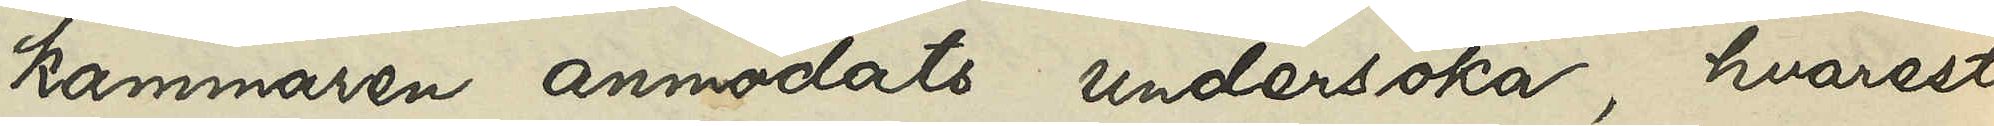kammaren anmodats undersöka, hvarest,
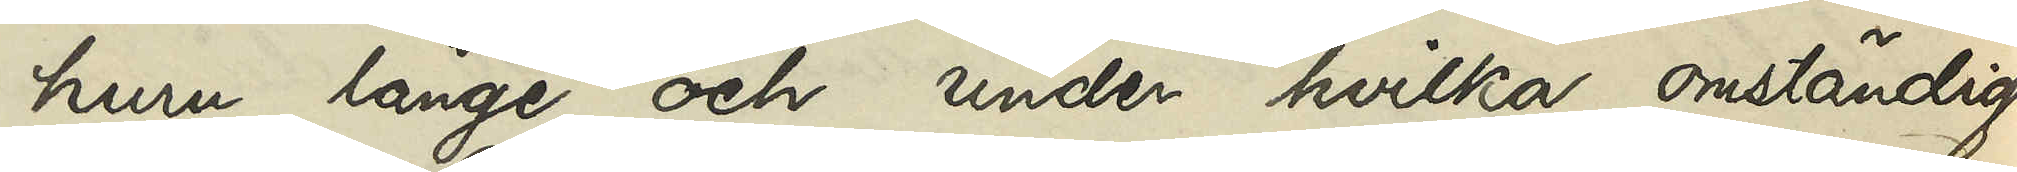huru länge och under hvilka omständig¬
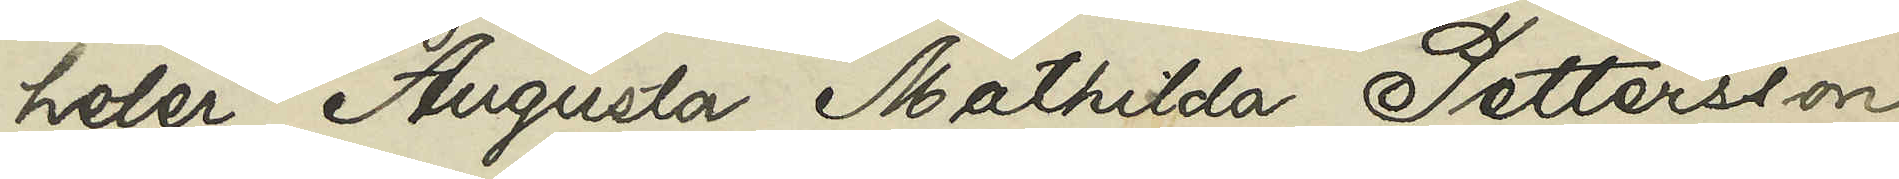heter Augusta Mathilda Pettersson
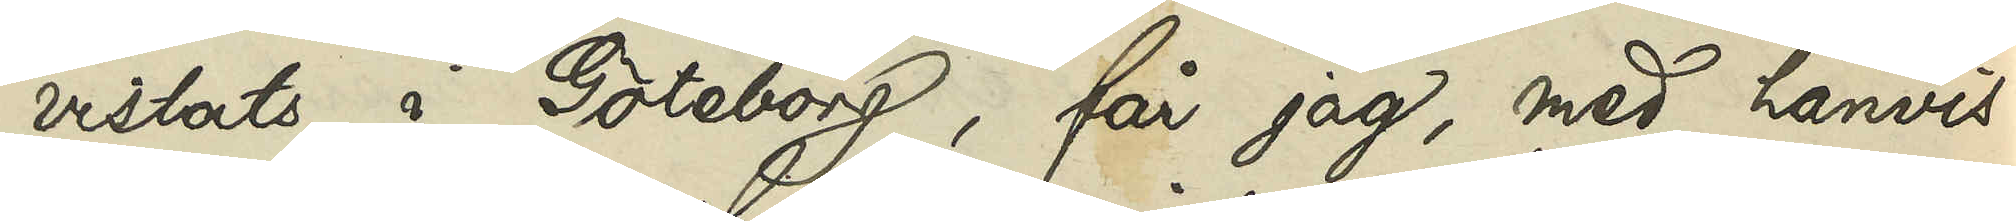vistats i Göteborg, får jag, med hänvis¬
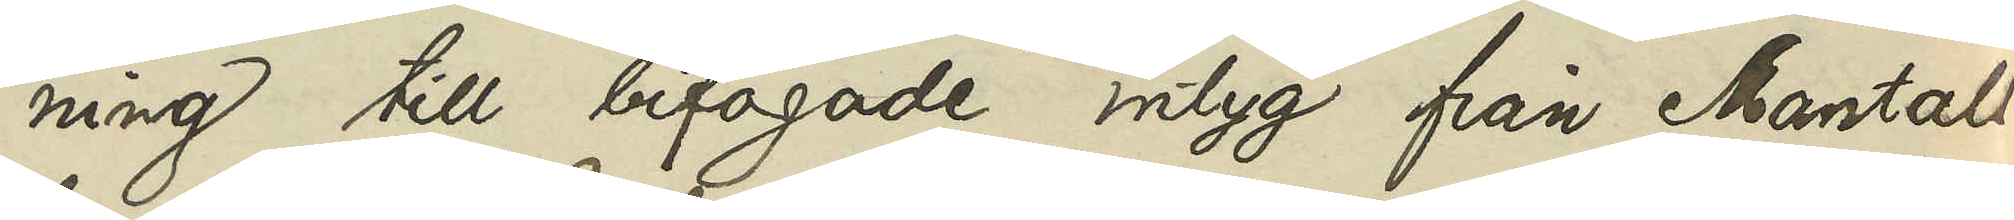ning till bifogade intyg från Mantals¬
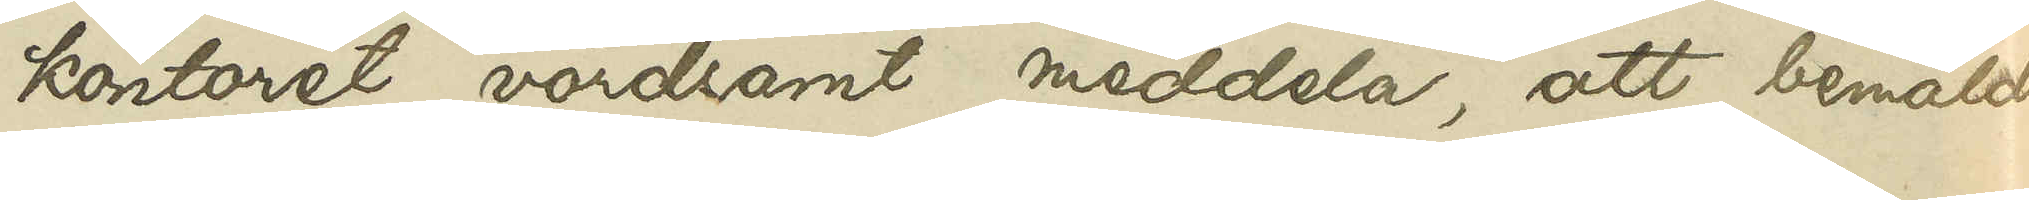kontoret, vördsamt meddela, att bemälda
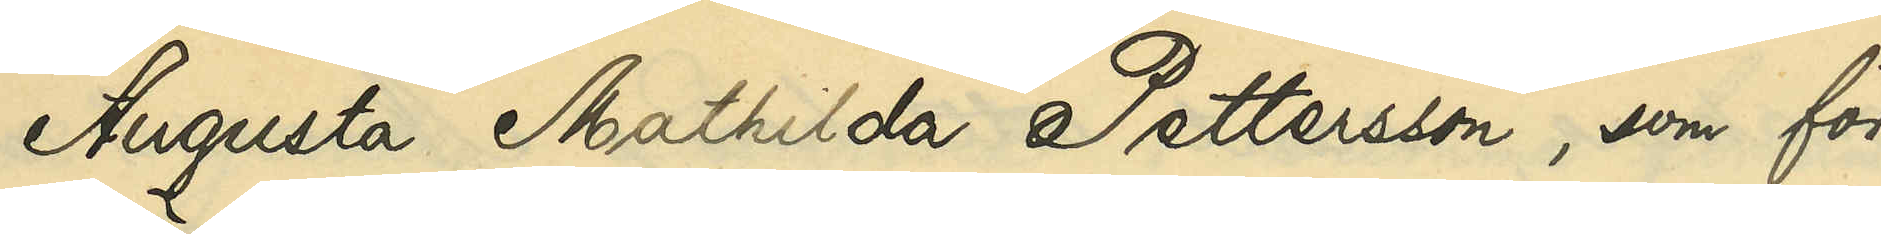Augusta Mathilda Pettersson, som för
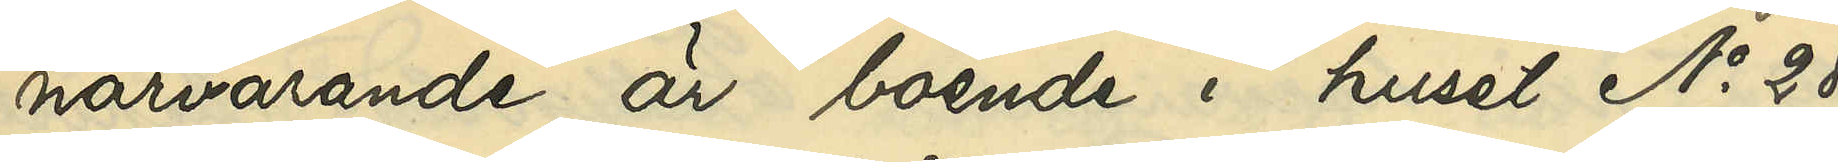närvarande är boende i huset No 28
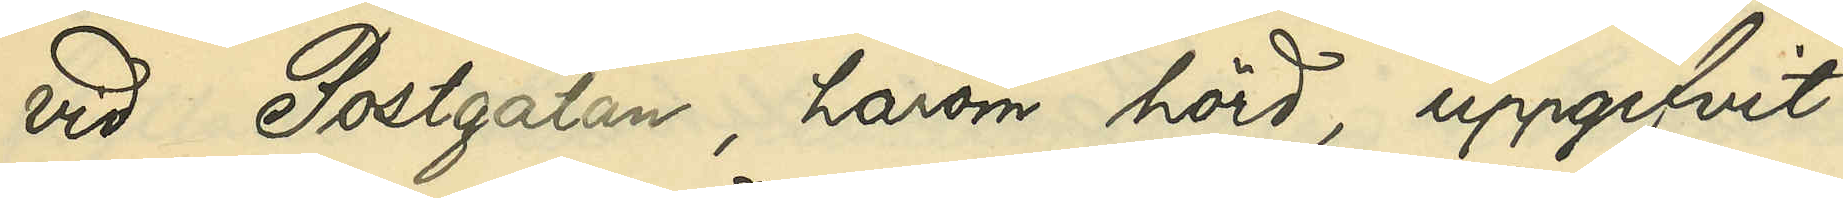vid Postgatan, härom hörd, uppgifvit:
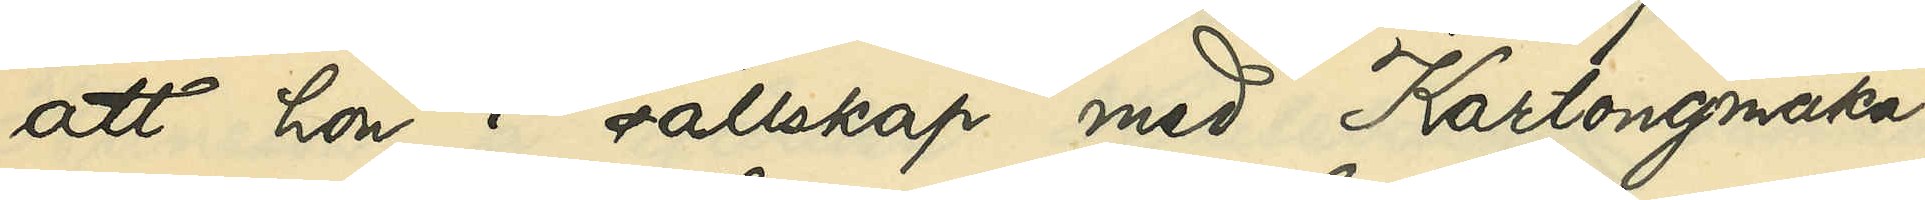att hon i sällskap med Kartongmaka¬
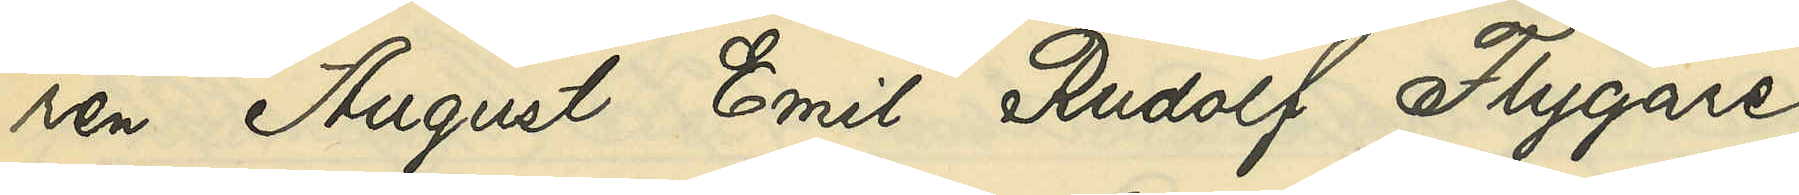ren August Emil Rudolf Flygare
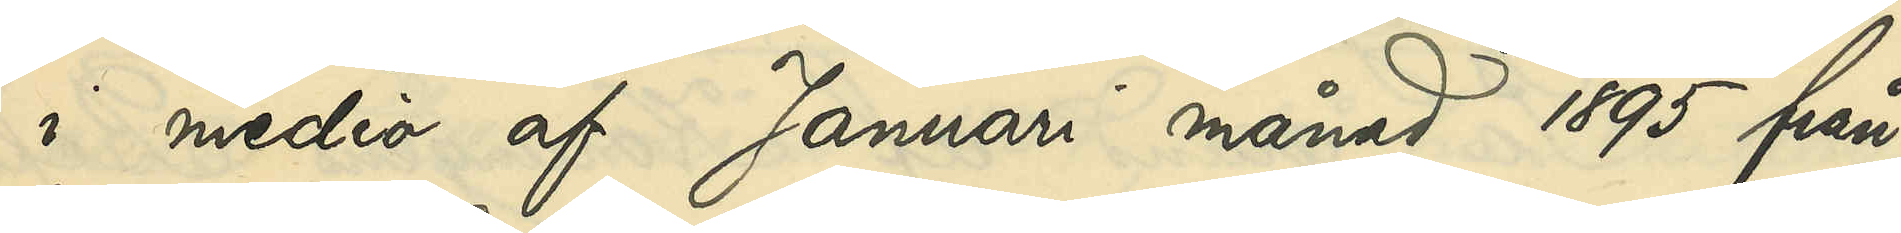i medio af Januari månad 1895 från
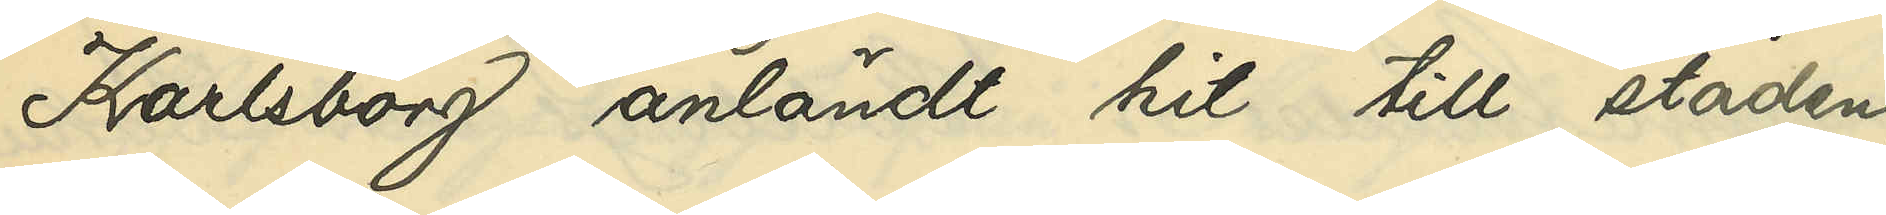Karlsborg anländt hit till staden,
